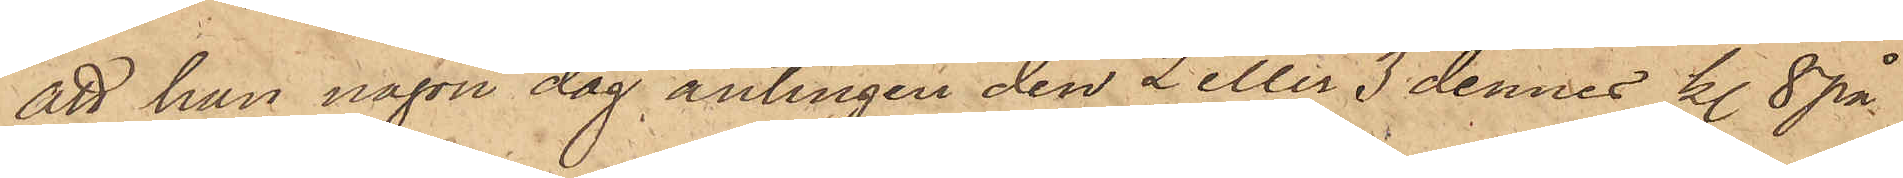att han någon dag antingen den 2 eller 3 dennes kl. 8 på
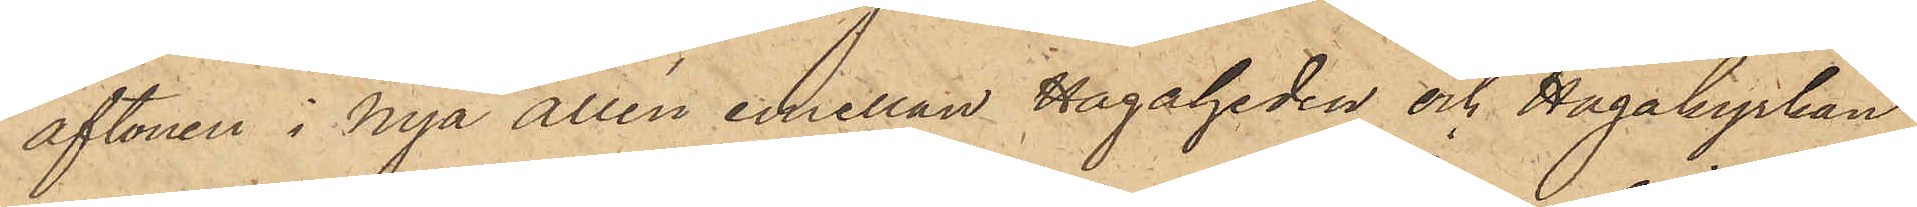aftonen i Nya allén emellan Hagaheden och Hagakyrkan
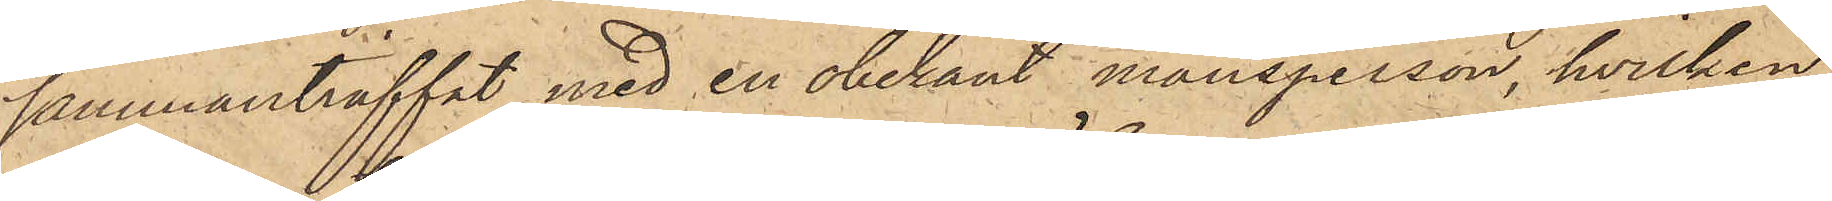sammanträffat med en obekant mansperson, hvilken
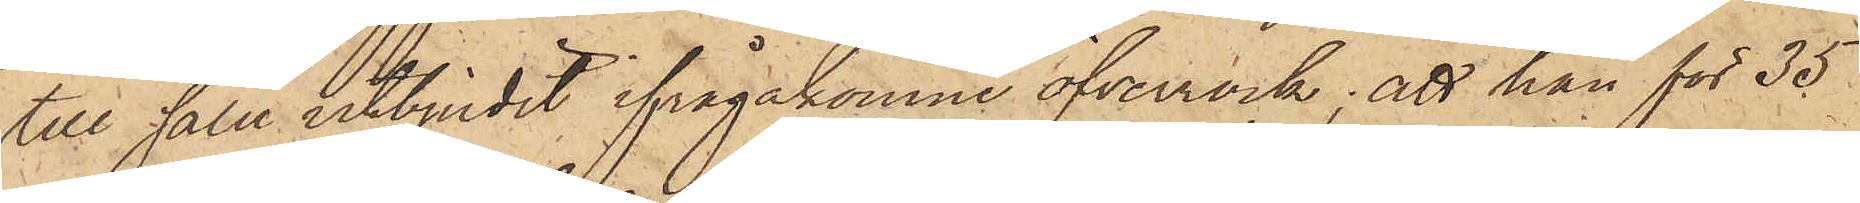till salu utbjudit ifrågakomne öfverrock; att han för 35
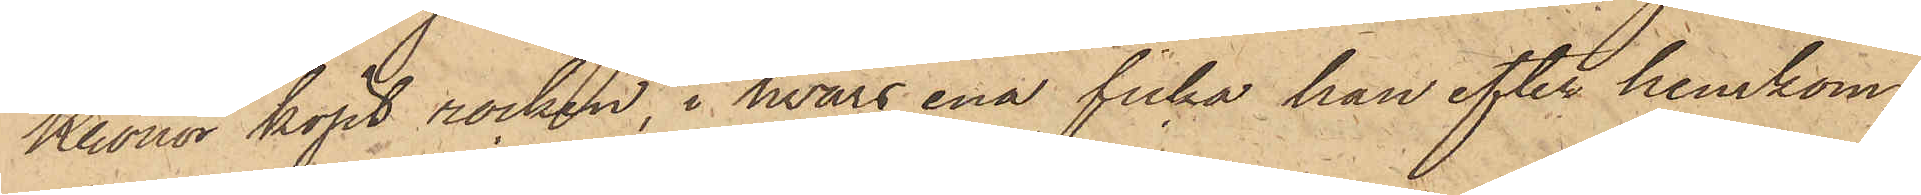Kronor köpt rocken, i hvars ena ficka han efter hemkom¬
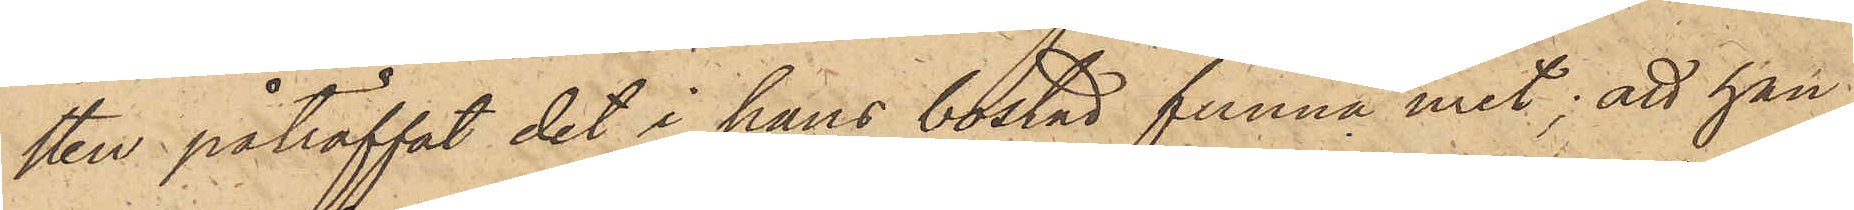sten påträffat det i hans bostad funna uret; att han
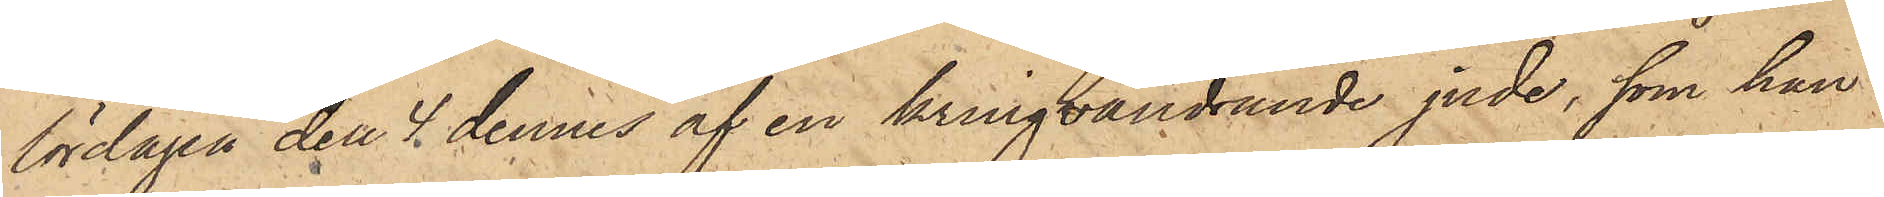lördagen den 4 dennes af en kringvandrande jude, som han
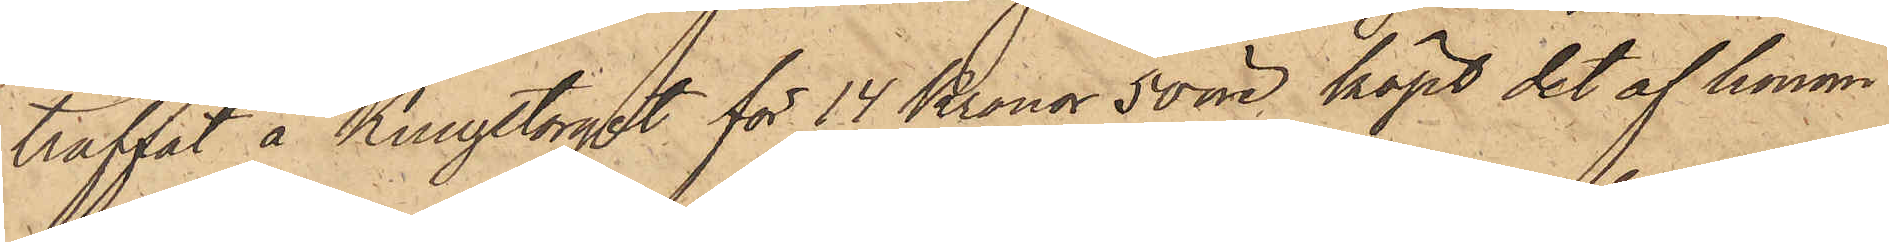träffat å Kungstorget för 14 Kronor 50 öre köpt det af honom
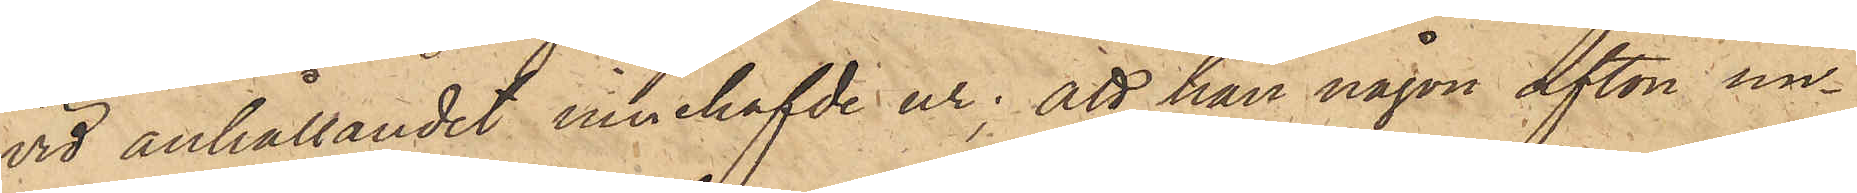vid anhållandet innehafvde ur; att han någon afton un¬
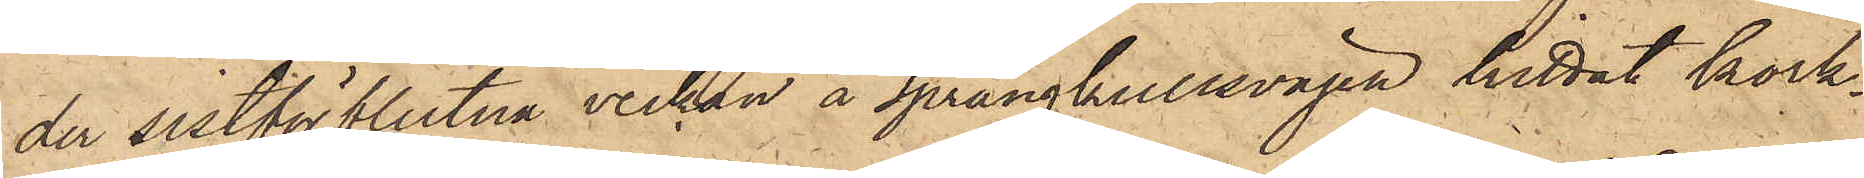der sistförflutne veckan å Sprängkullsvägen hittat kork¬
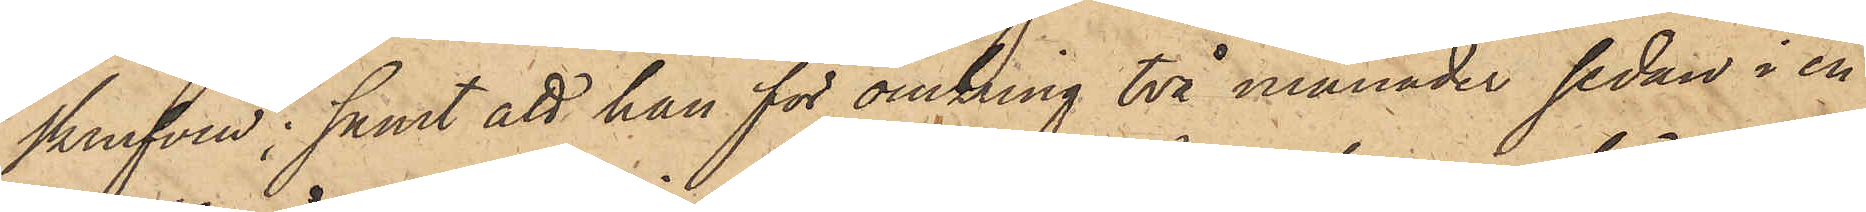skrufven; samt att han för omkring två månader sedan i en
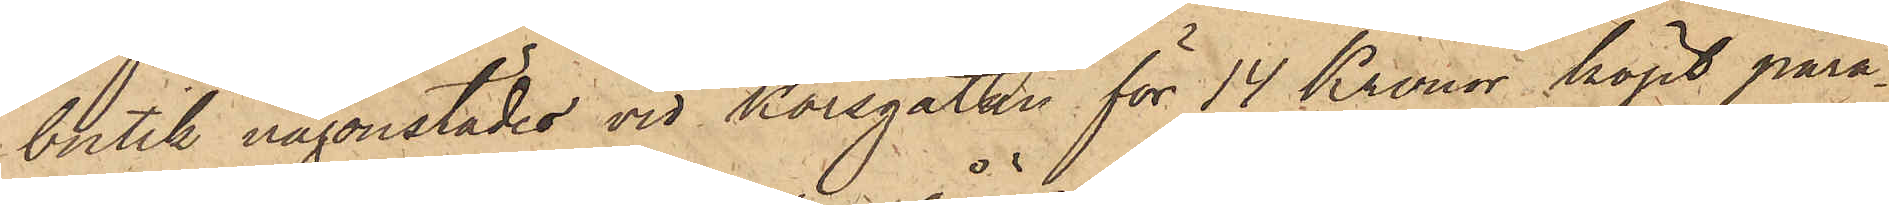butik någonstädes vid Korsgatan för 14 Kronor köpt para¬
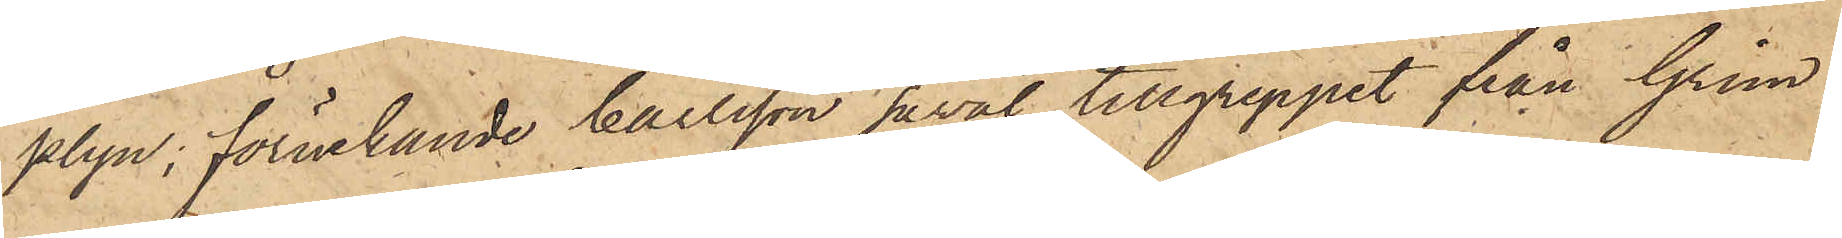plyn, förnekande Carlsson såväl tillgreppet från Grön
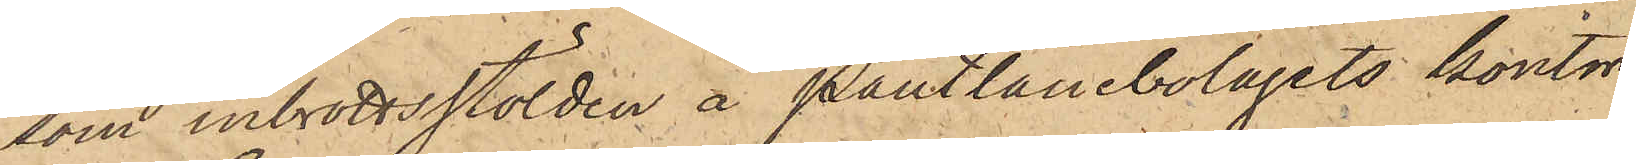som inbrottsstölden å pantlånebolagets kontor.
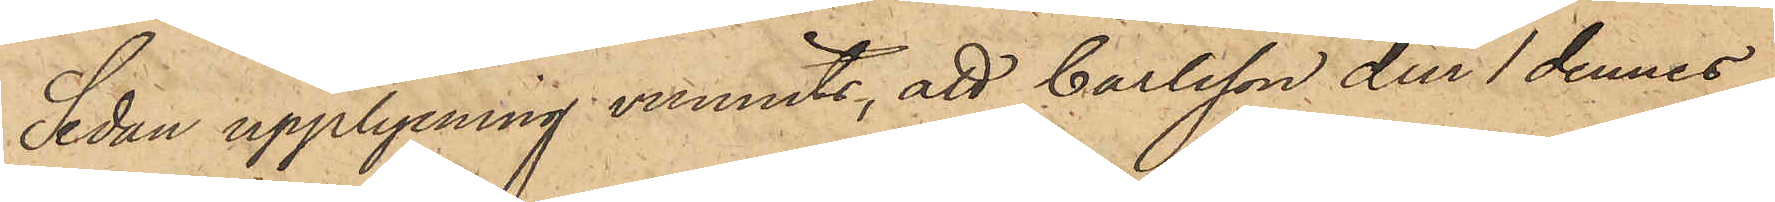Sedan upplysning vunnits, att Carlsson den 1 dennes
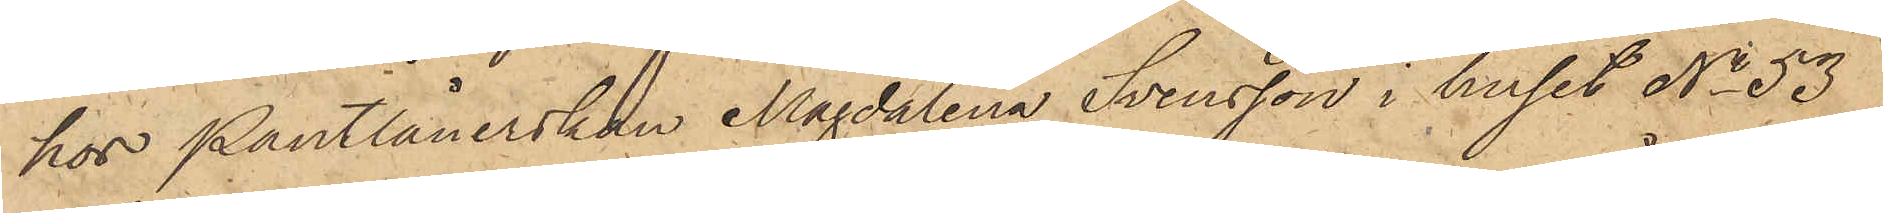hos Pantlånerskan Magdalena Svensson i huset No 53
